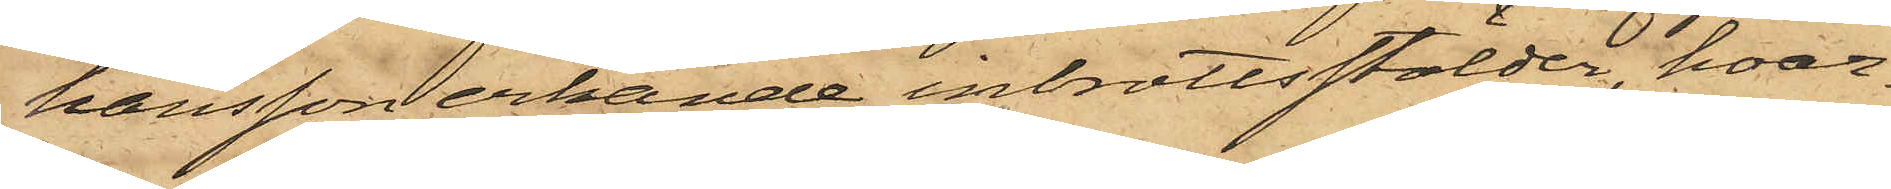hansson erkände inbrottsstölder, hvar¬
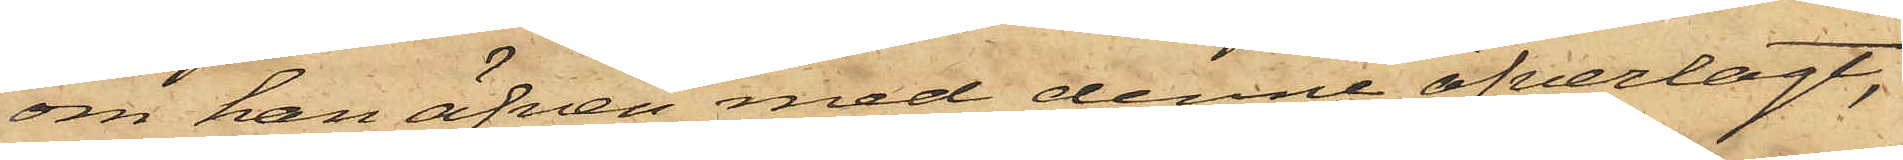om han äfven med denne öfverlagt,
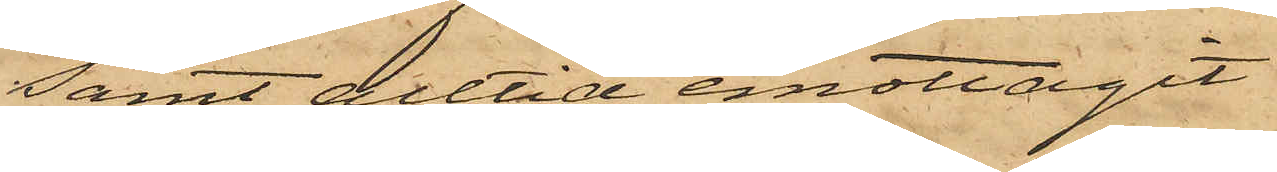samt alltid emottagit
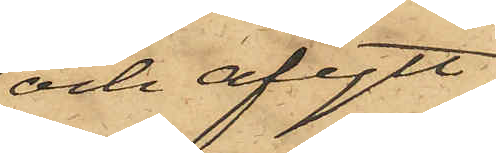och afytt¬
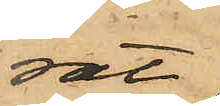rat
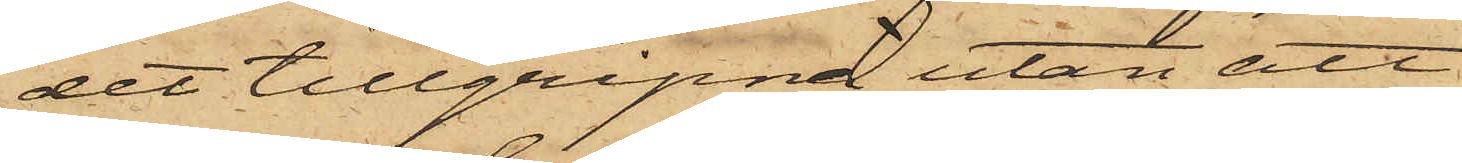det tillgripne utan att
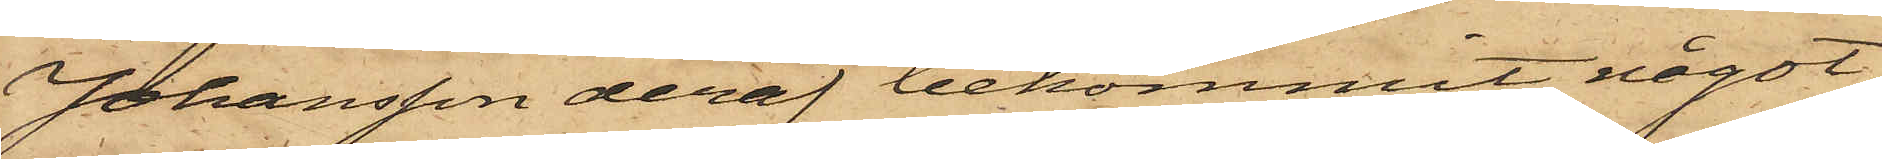Johansson deraf bekommit något;
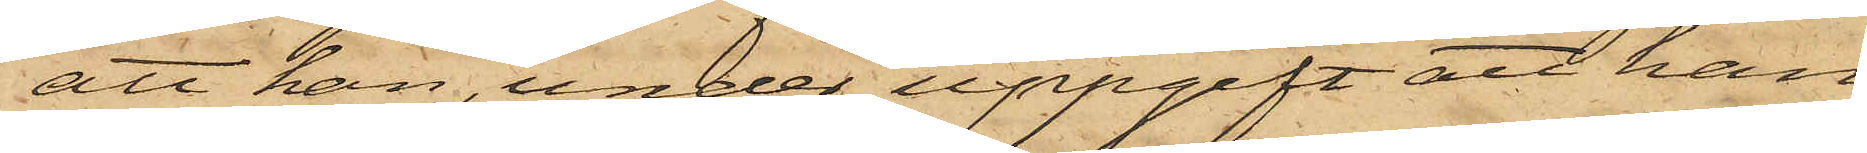att han, under uppgift att han
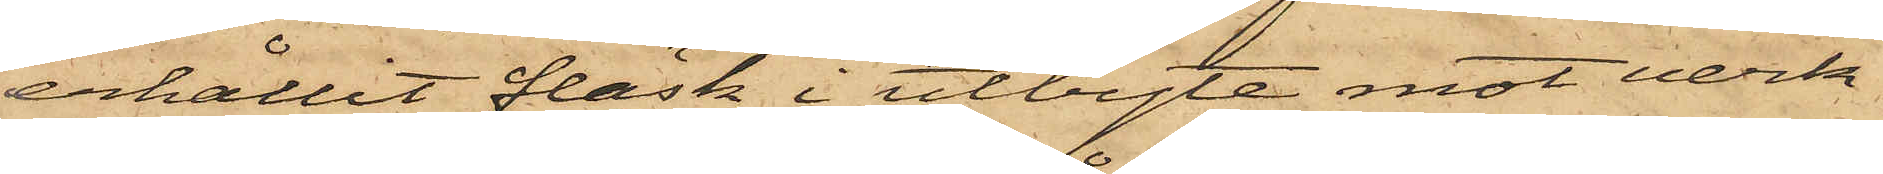erhållit fläsk i utbyte mot verk¬
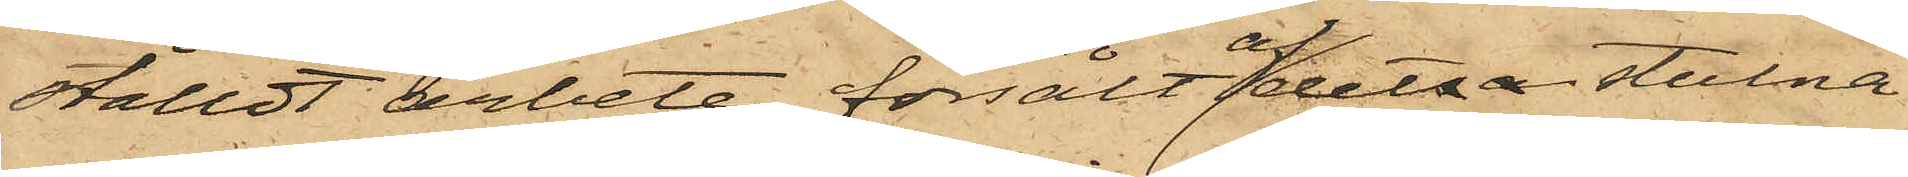ställdt arbete försålt af detta stulna
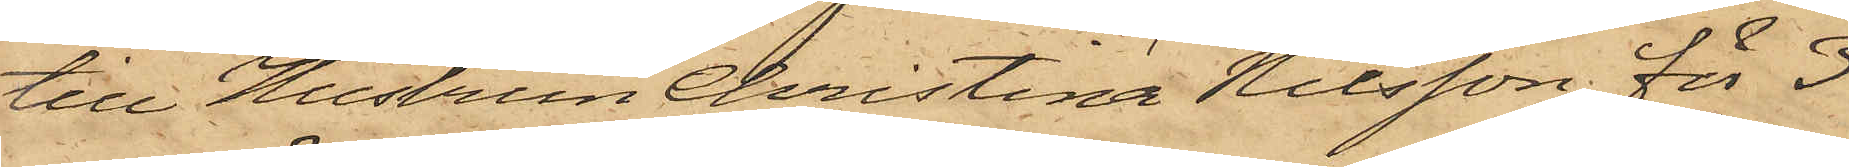till Hustrun Christina Nilsson för 3
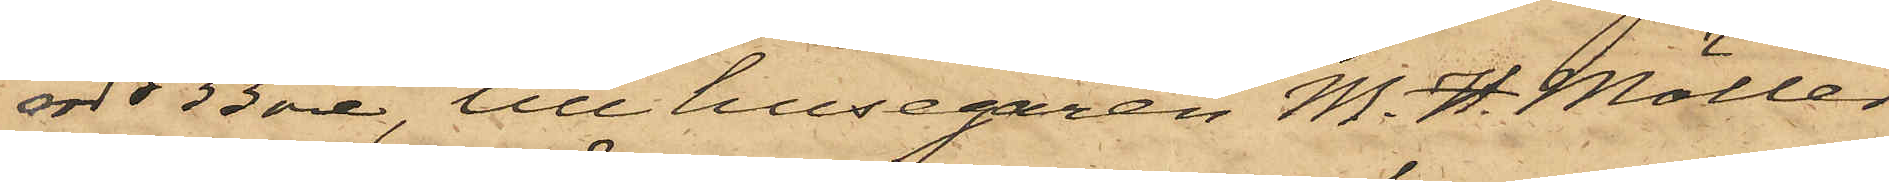rdr 33 öre, till husegaren M. H. Möller
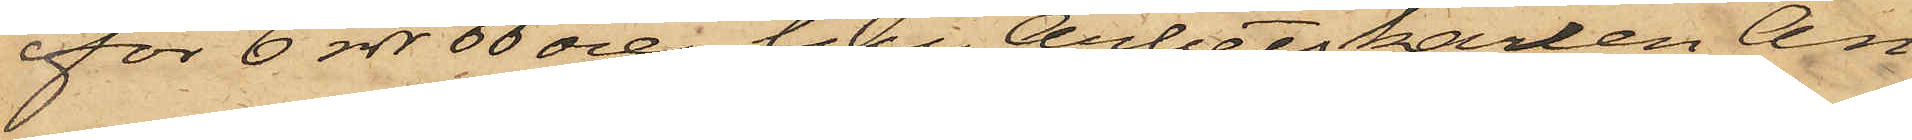för 6 rdr 66 öre, till Arbetskarlen An¬
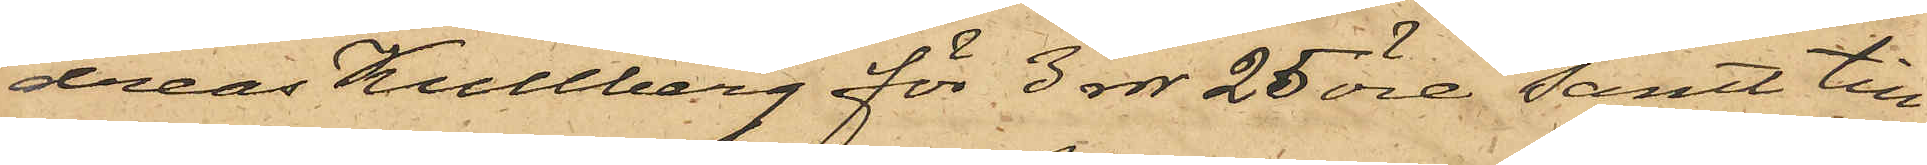dreas Kullberg för 3 rdr 25 öre; samt till
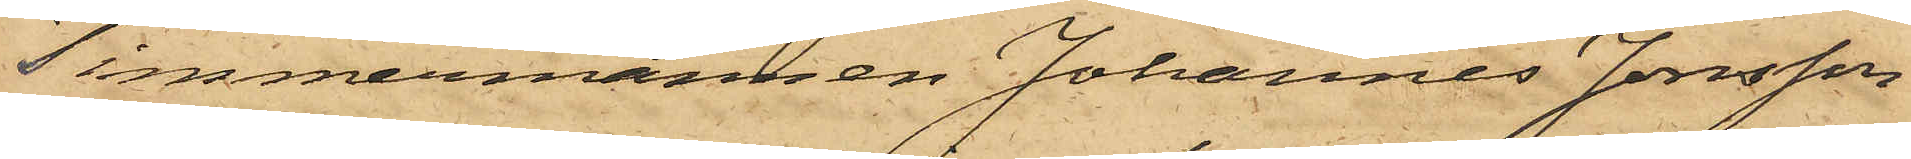Timmermannen Johannes Jonsson
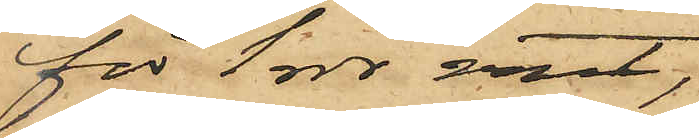för 1 rdr rmt,
